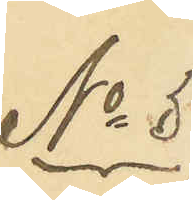No 5
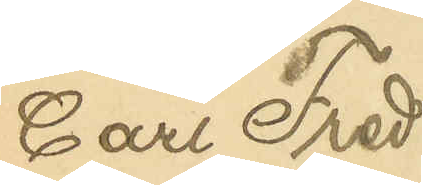Carl Fred¬
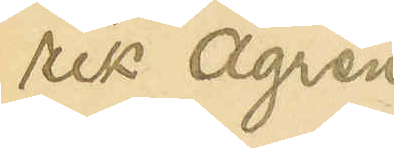rik Ågren
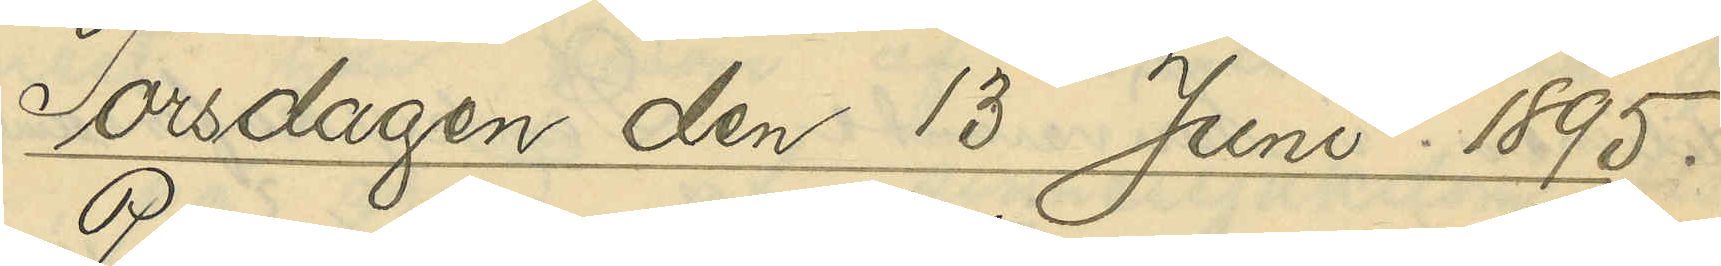Torsdagen den 13 Juni 1895.
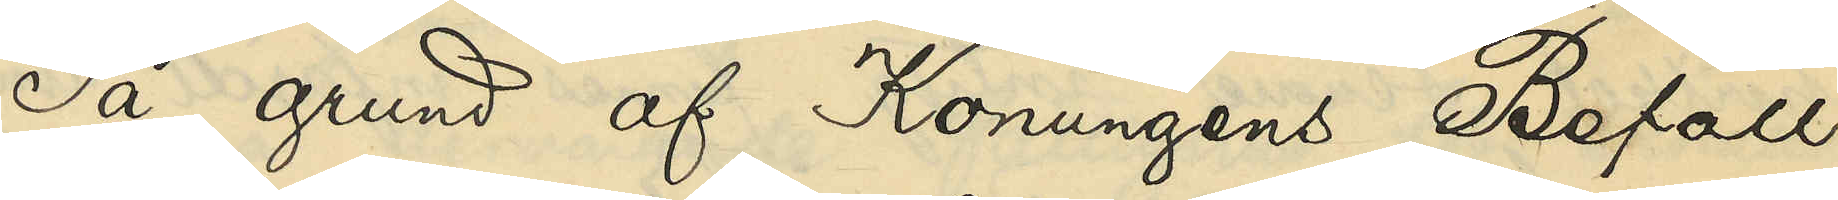På grund af Konungens Befall¬
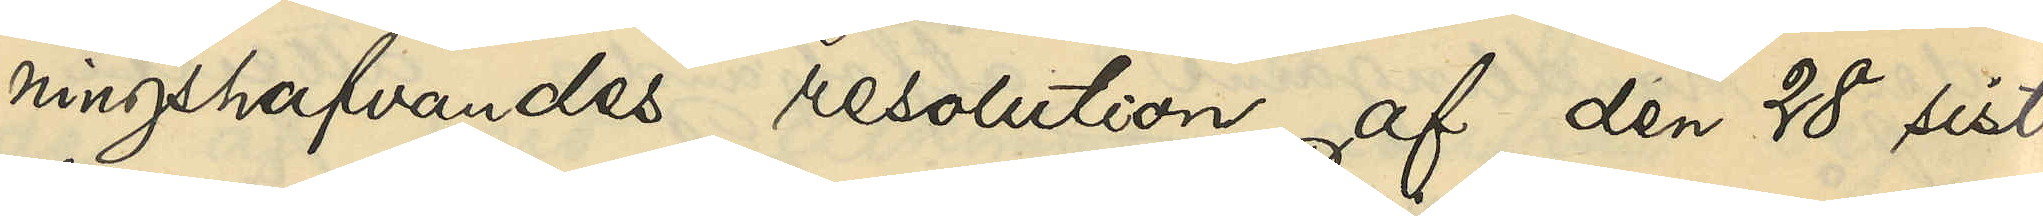ningshafvandes resolution af den 28 sist¬
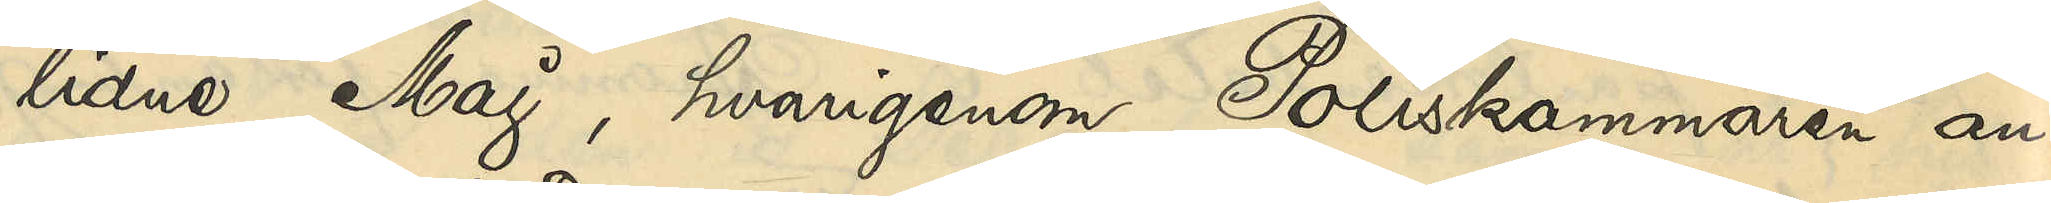lidne Maj, hvarigenom Poliskammaren an¬
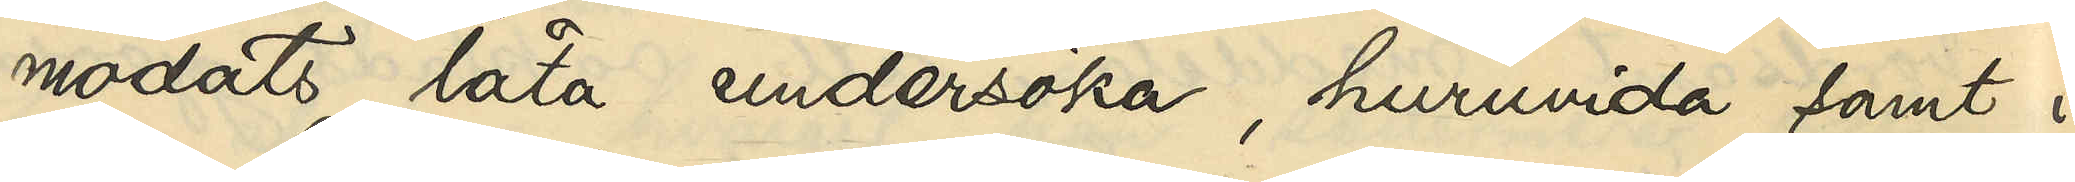modats låta undersöka, hurvida samt i
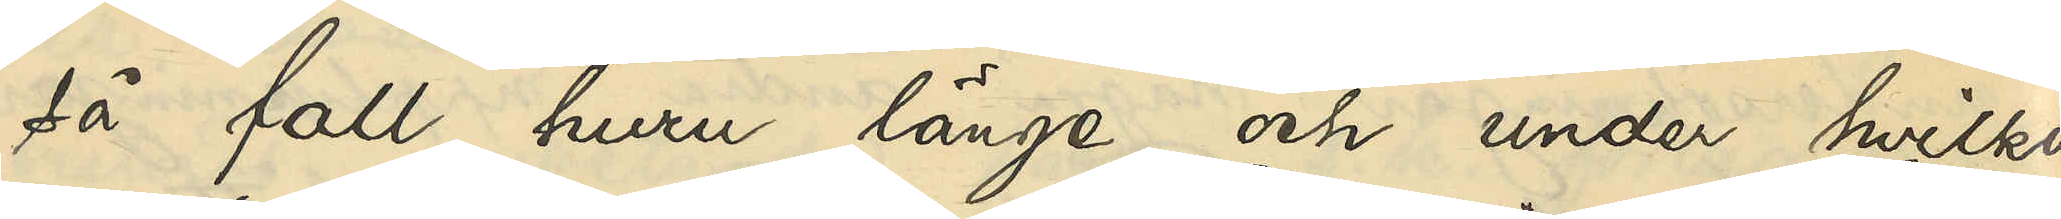så fall huru länge och under hvilka
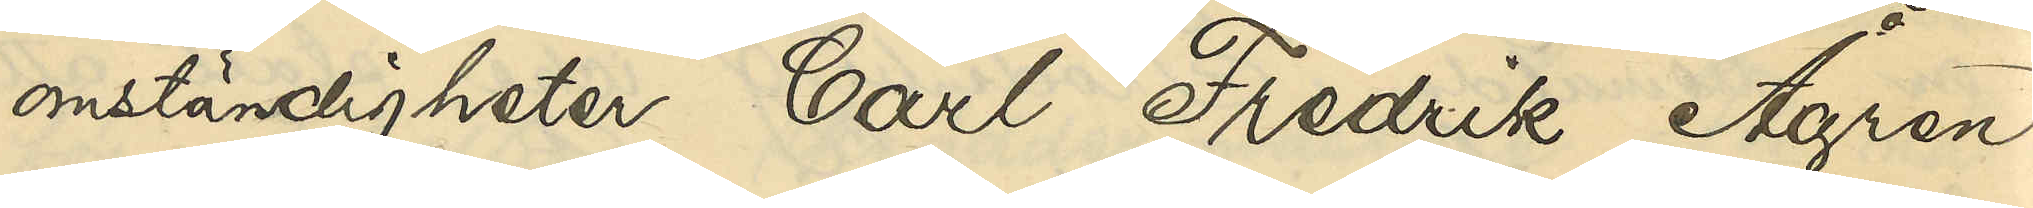omständigheter Carl Fredrik Ågren
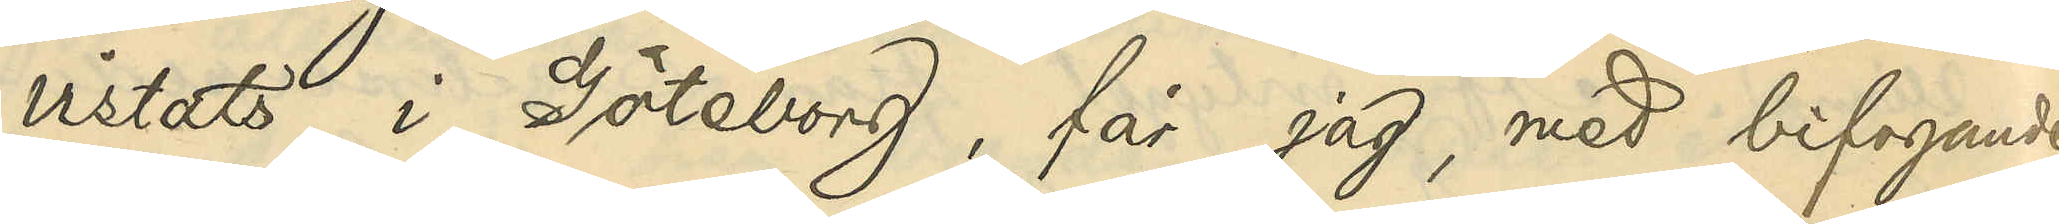vistats i Göteborg, får jag, med bifogande
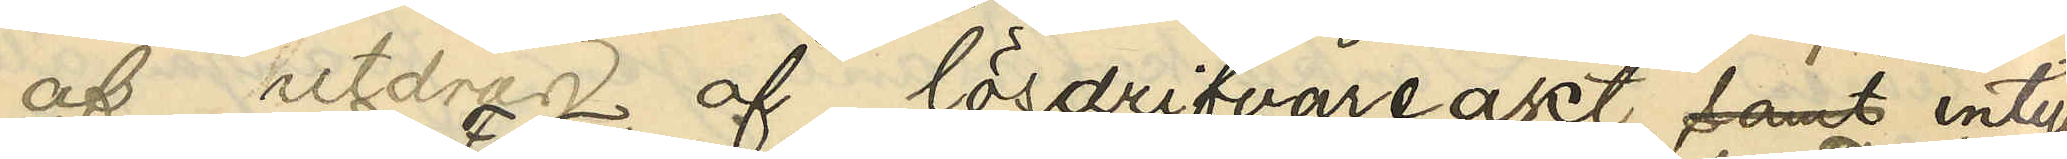af utdrag af lösdrifvareakt samt intyg
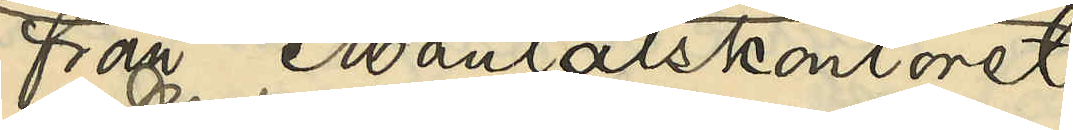från Mantalskontoret,
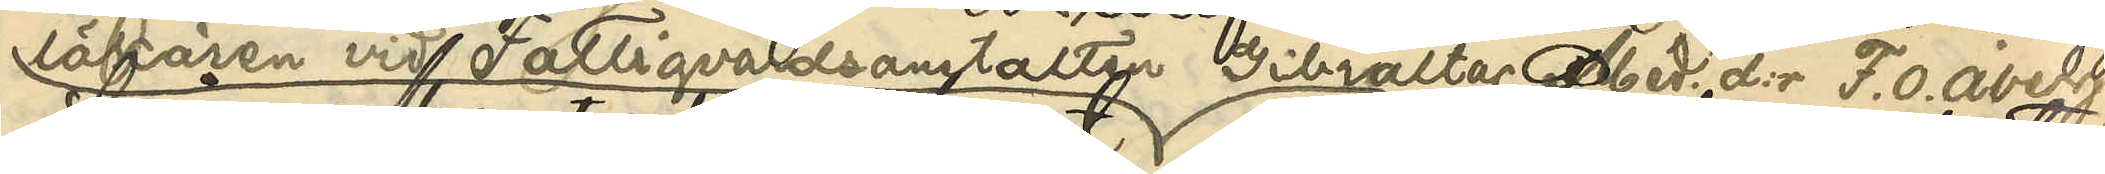läkaren vid Fattigvårdsanstalten Gibraltar. Med. d:r F. O. Åberg
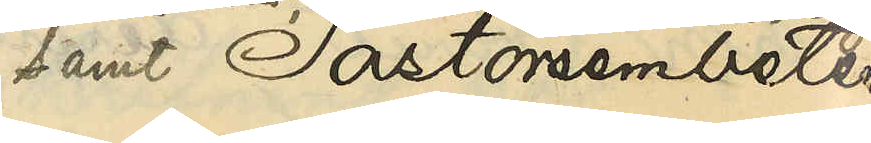samt Pastorsembetet
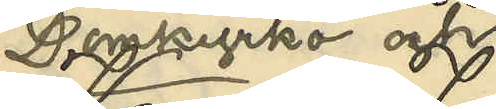i Domkyrko och
